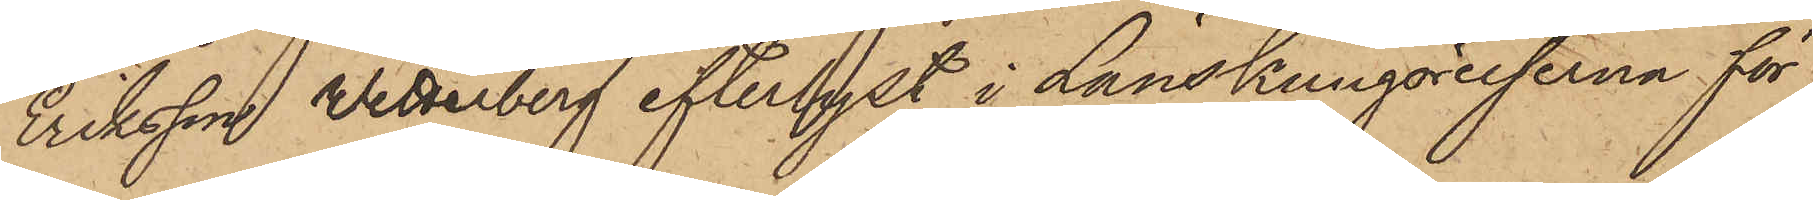Eriksson Wetterberg efterlyst i Länskungörelserna för
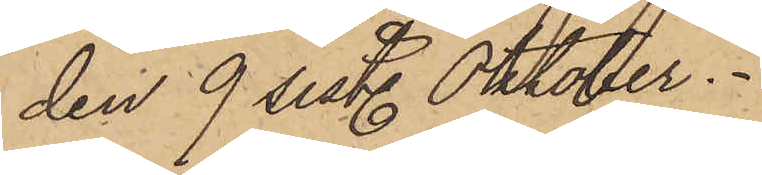den 9 sistl. Oktober.
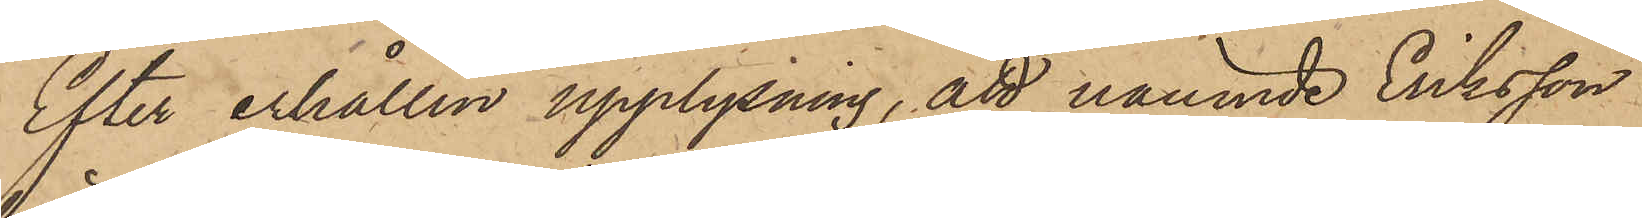Efter erhållen upplysning, att nämnde Eriksson
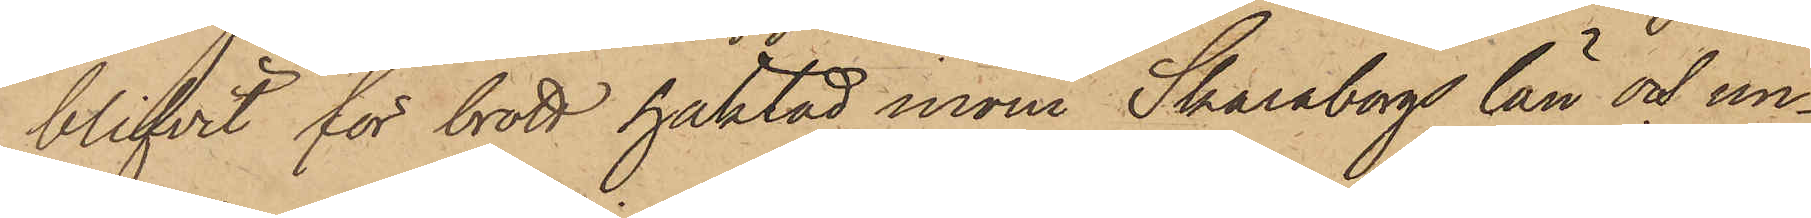blifvit för brott häktad inom Skaraborgs län och un¬
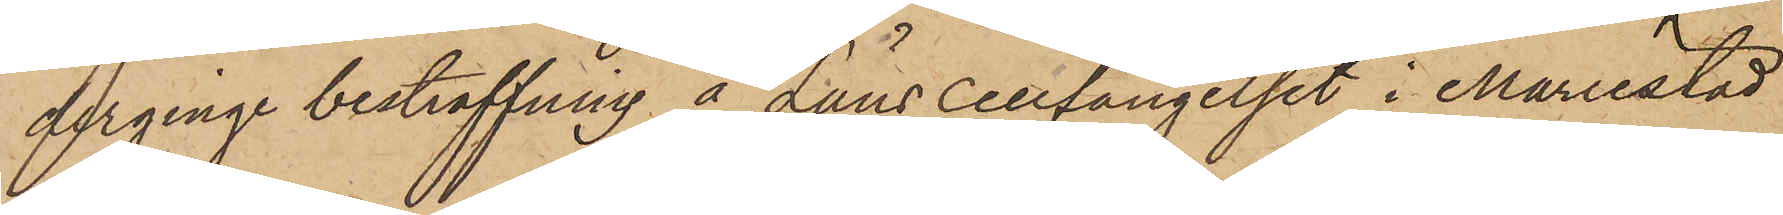derginge bestraffning å Länscellfängelset i Mariestad
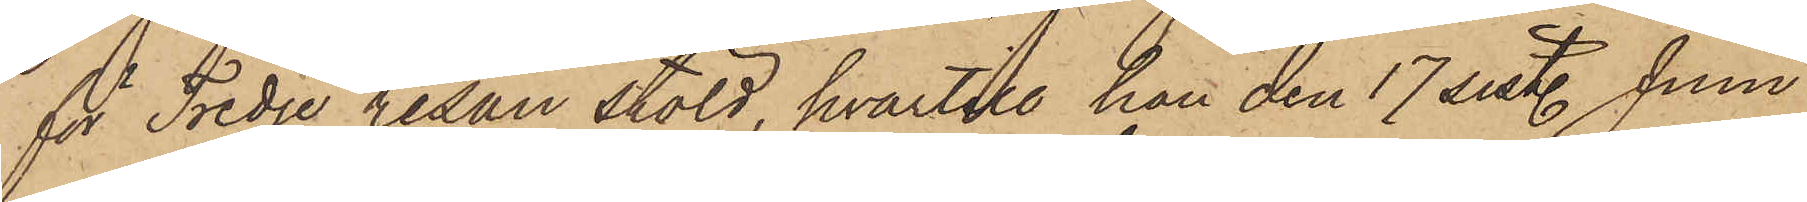för Tredje resan stöld, hvartill han den 17 sist. Juni
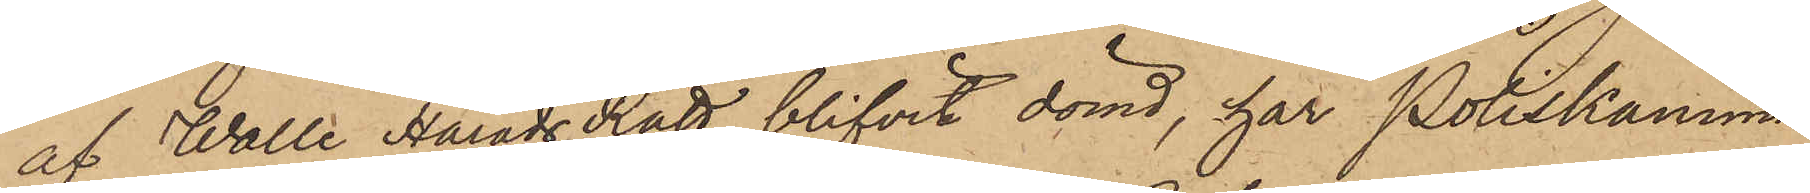af Walle Härads Rätt blifvit dömd, har Poliskamma¬
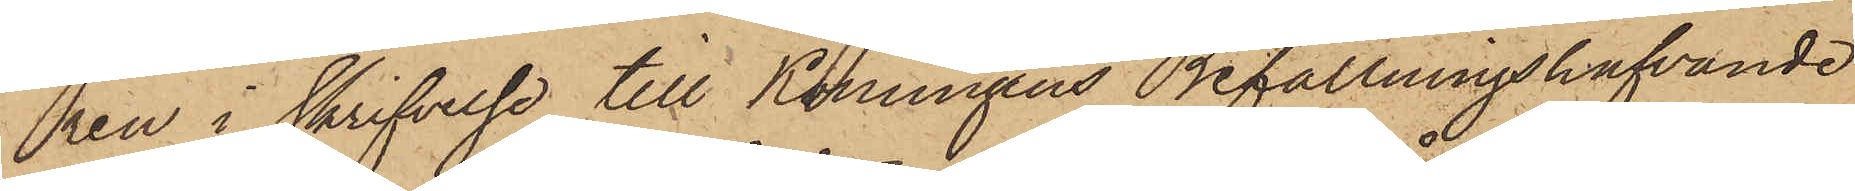ren i skrifvelse till Konungens Befallningshafvande
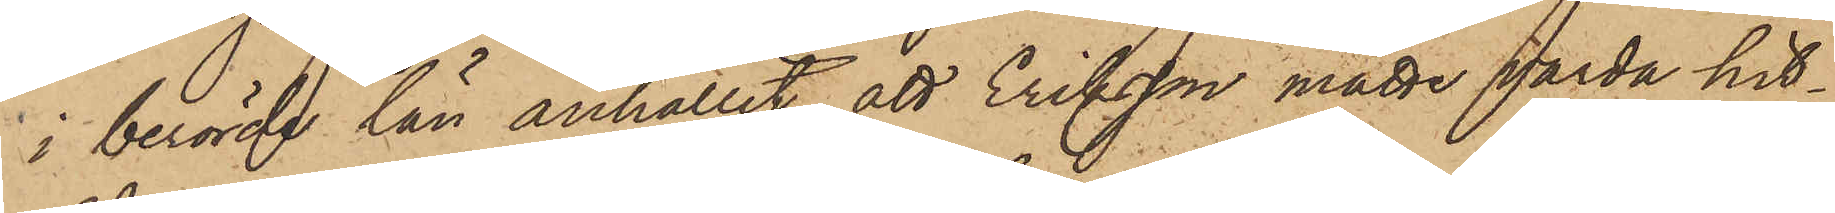i berörde län anhållit, att Eriksson måtte varda hit¬
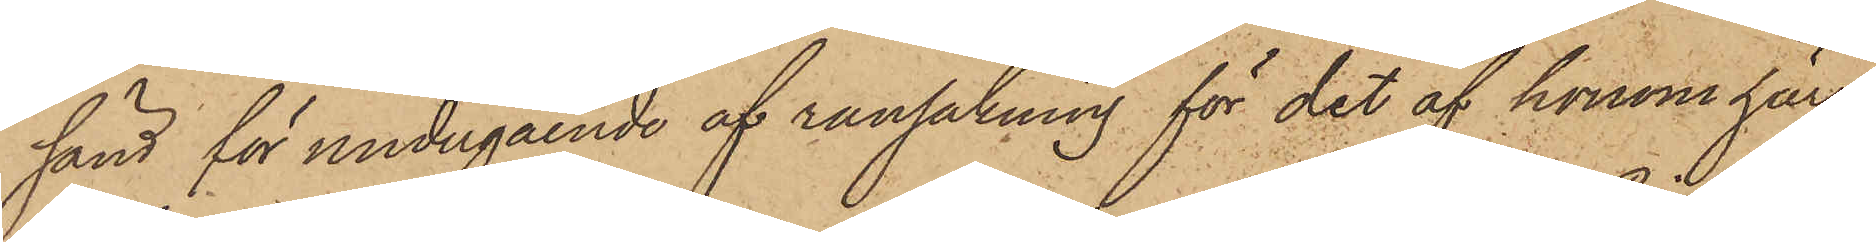sänd för undergående af ransakning för det af honom här
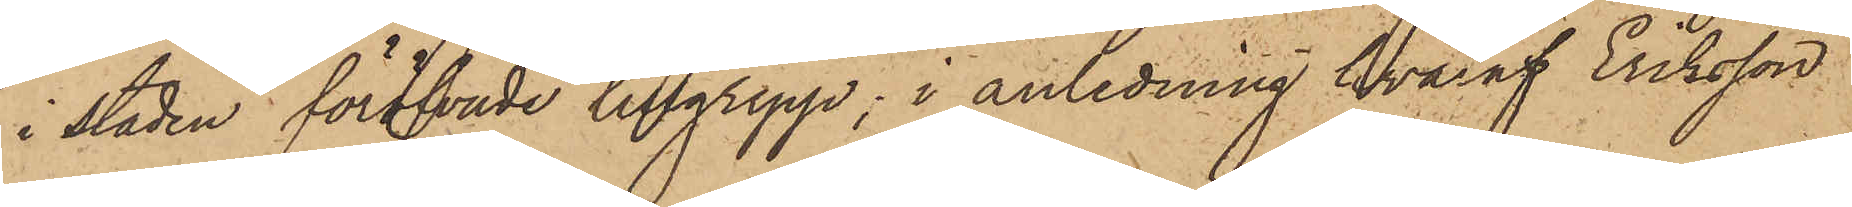i staden föröfvade tillgrepp; i anledning hvaraf Eriksson
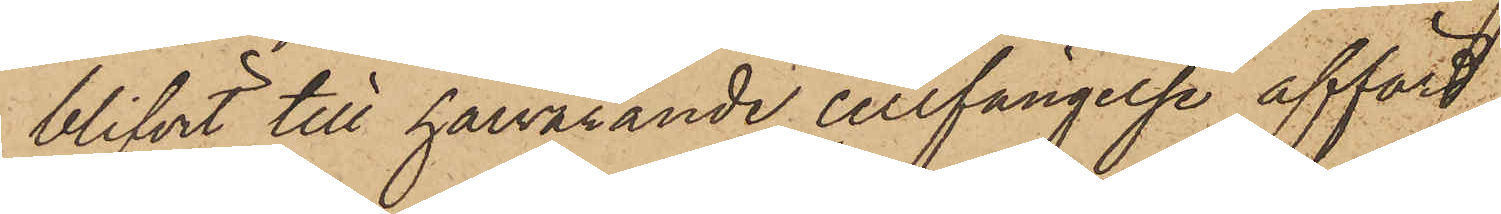blifvit till härvarande cellfängelse afförd
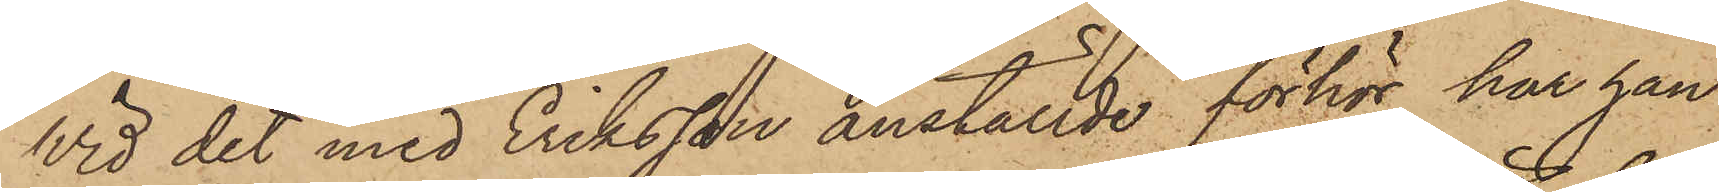Wid det med Eriksson anställde förhör har han
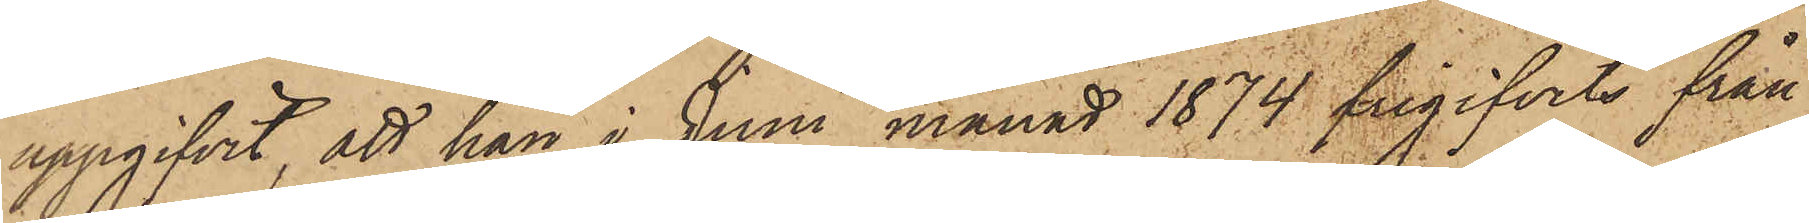uppgifvit, att han i Juni månad 1874 frigifvits från
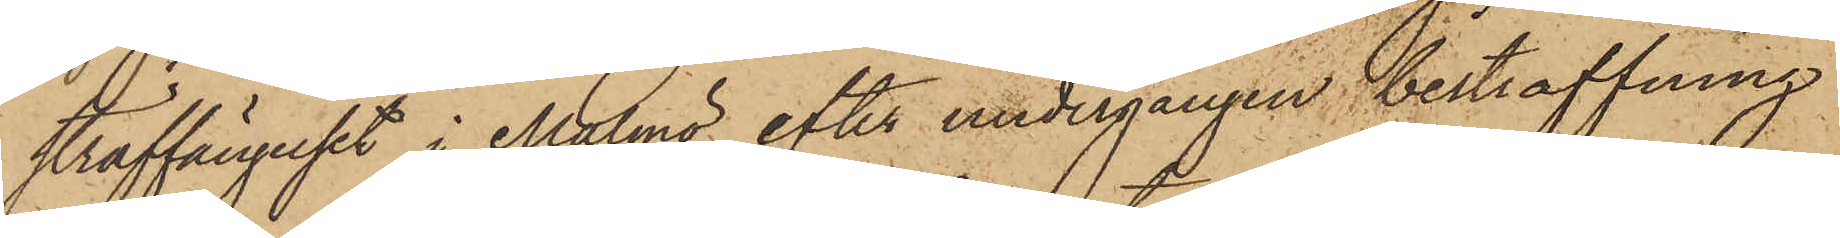straffängelset i Malmö efter undergången bestraffning
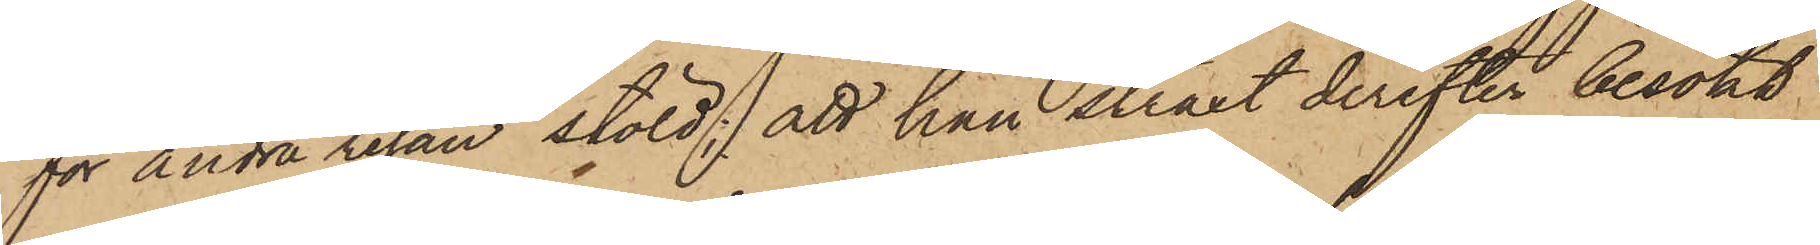för andra resan stöld; att han snart derefter besökt
